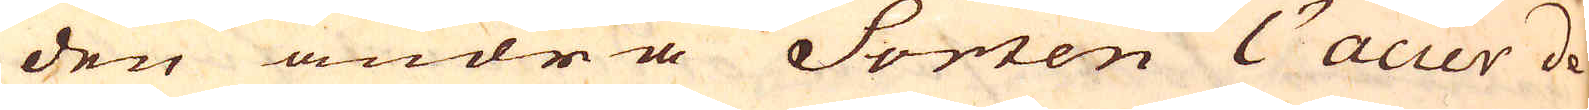den andra Sorten l'acier de
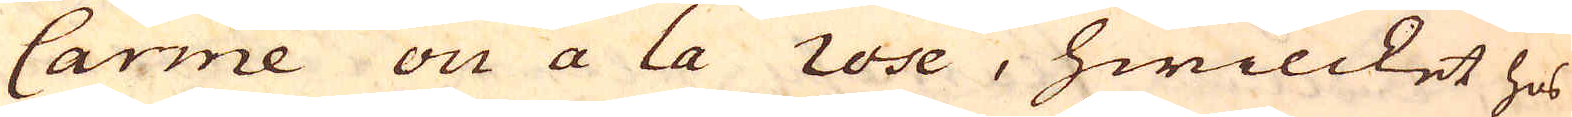Carme on a la rose, hwilcket hos
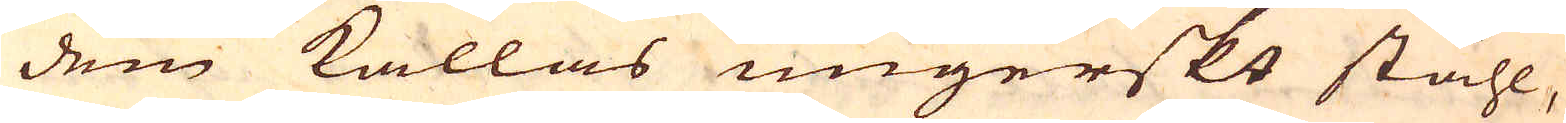dem kallas ungerskt ståhl,
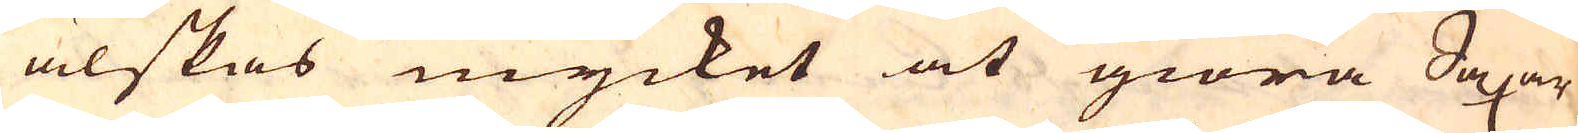älskas mycket at giöra Saxar
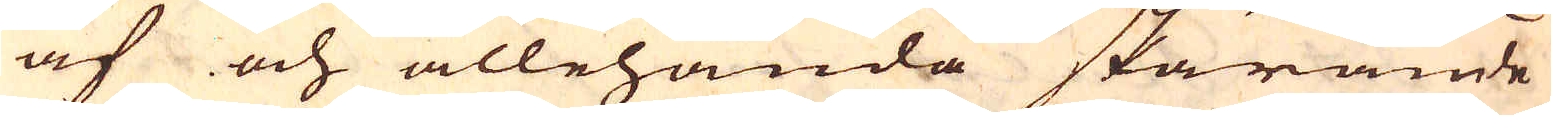af och allehanda skärande
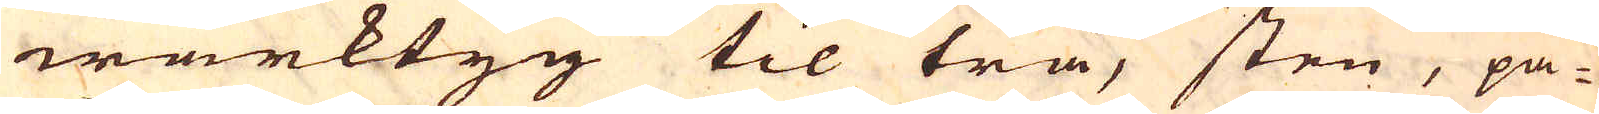wärktyg til trä, sten, pa-
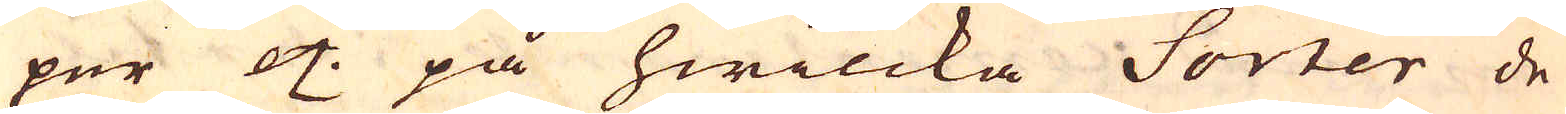per etc. på hwilcka Sorter de
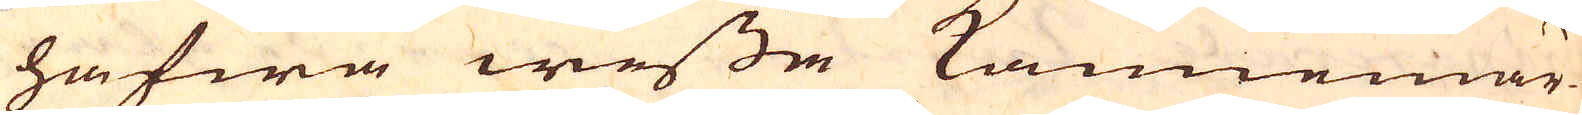hafwa wissa Kännemär-
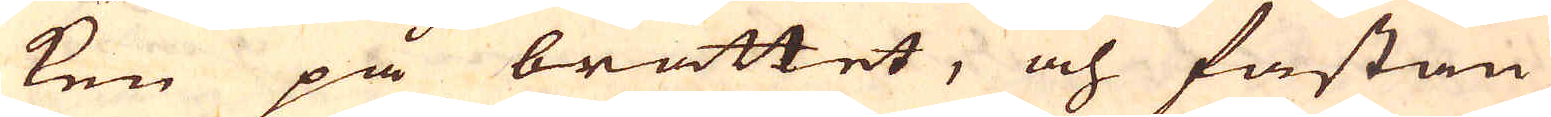ken på bråttet, och fastän
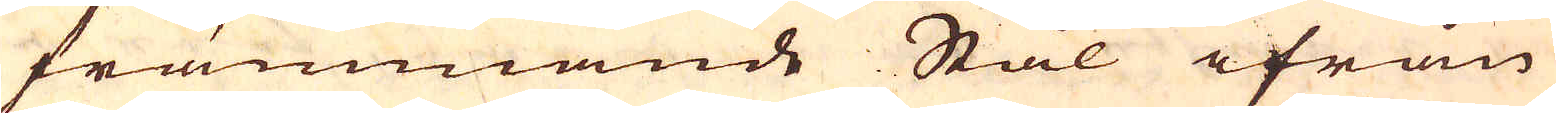främmande Stål ifrån
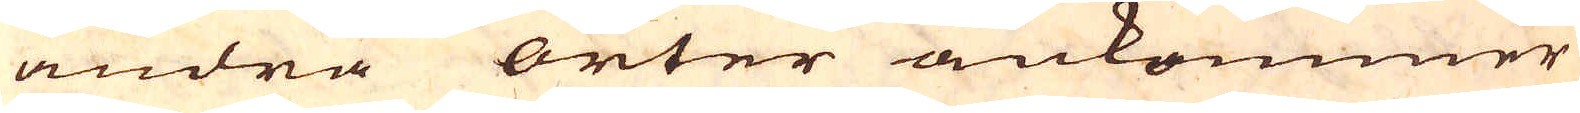andra orter ankommer
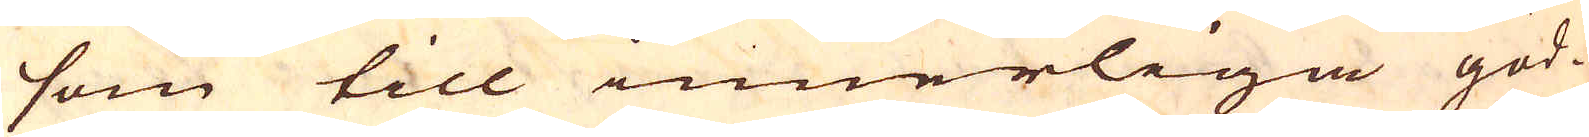som till innerliga god-
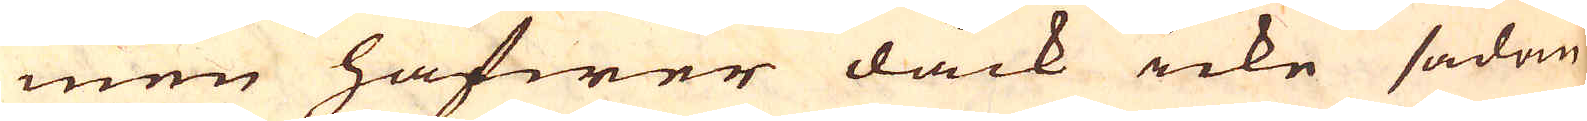men hafwer dåck icke sådan
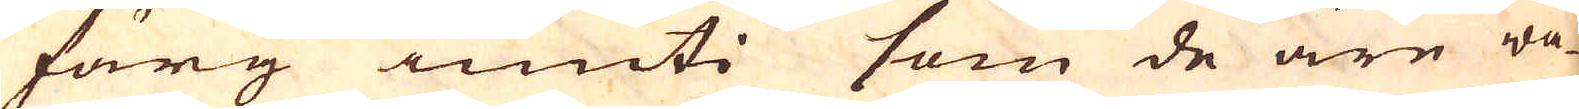färg inuti som de äre wa-
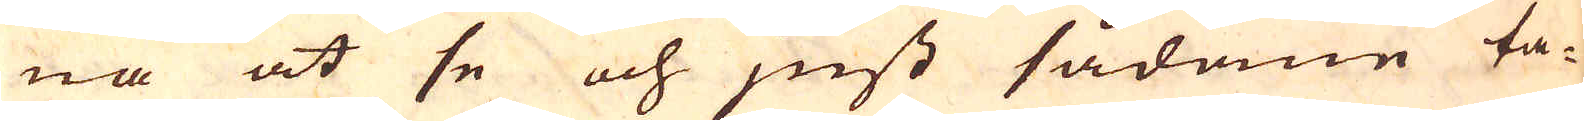na at se och just sådane ta-
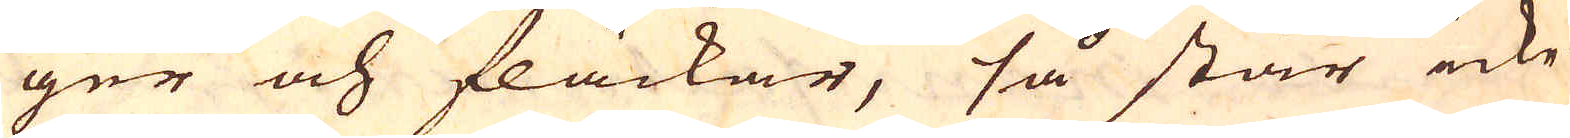ger och fläckar, så står icke
